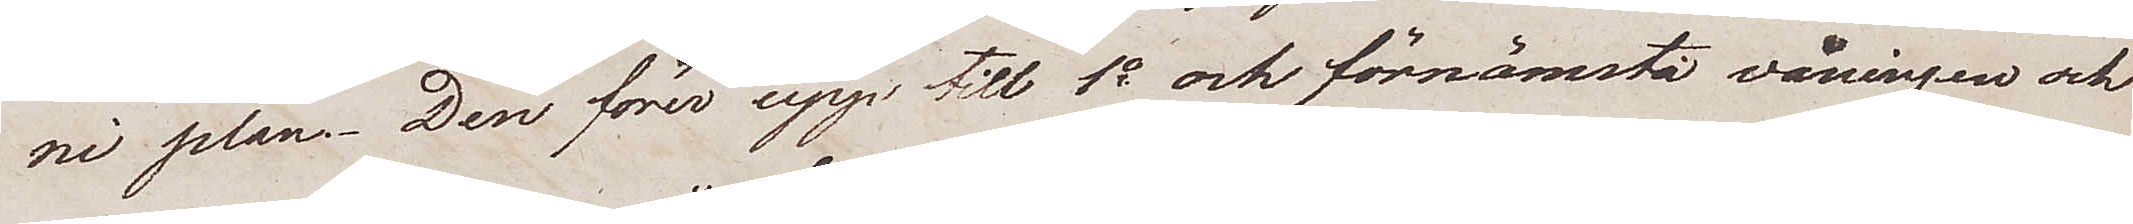ni plan. Den förer upp till 1a och förnämsta våningen och
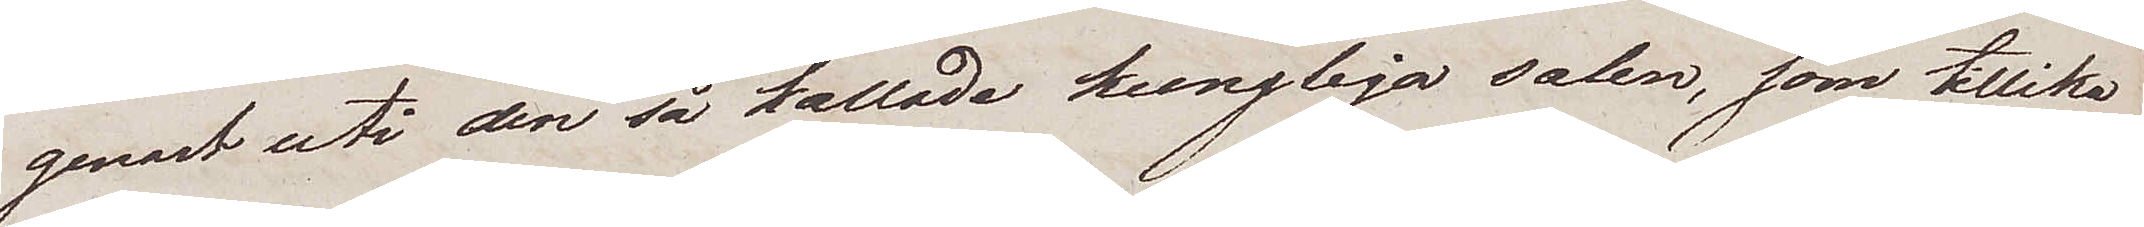genast uti den så kallade kungliga salen, som tillika
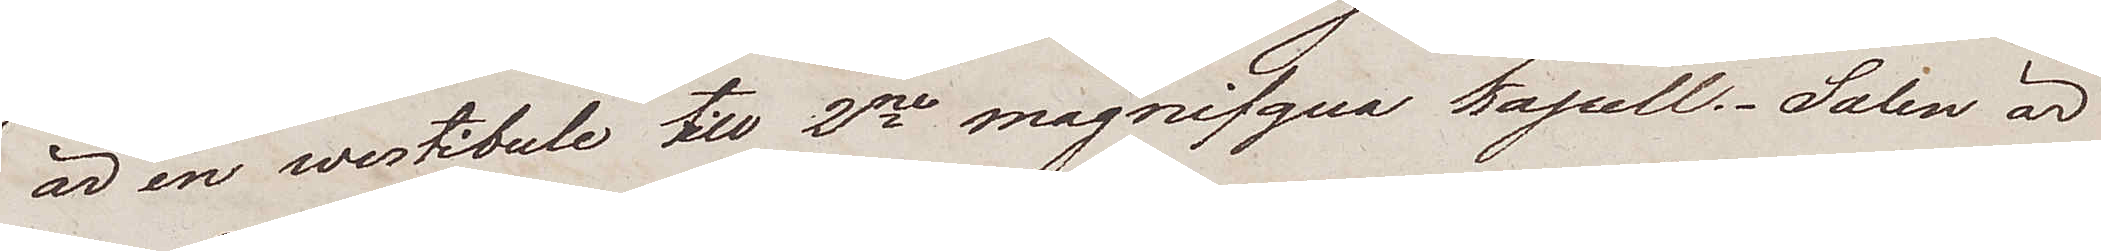är en westibule till 2ne magnifqua Kapell. Salen är
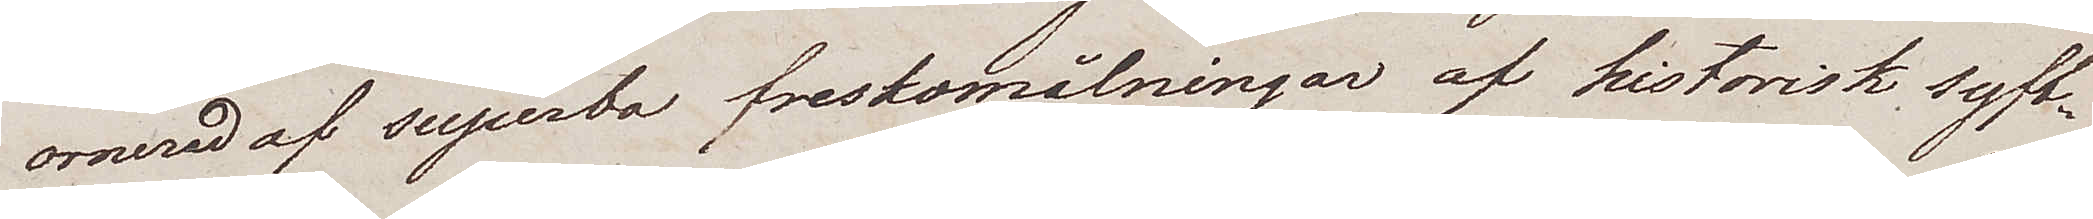ornerad af superba freskomålningar af historisk syft¬
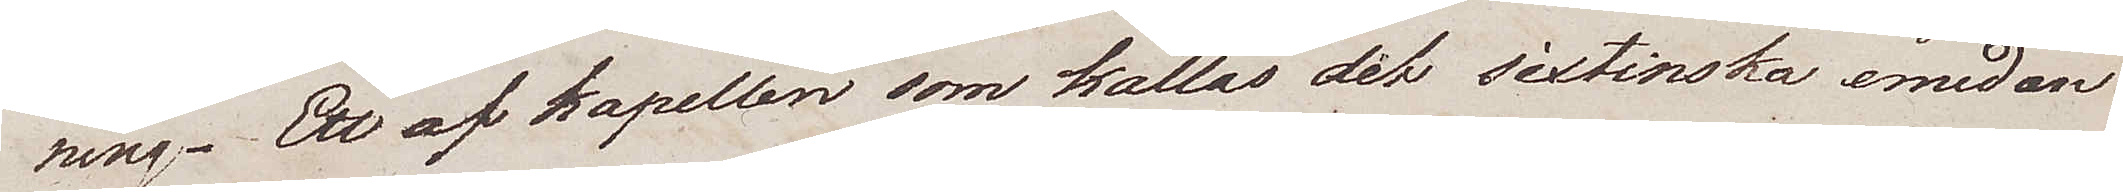ning. Ett af Kapellen som kallas det sixtinska emedan
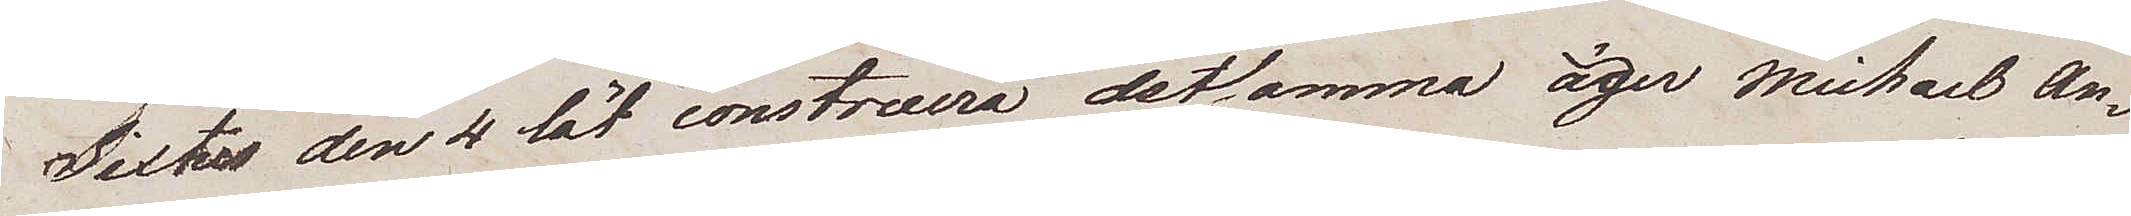Sixtus den 4 lät construera detsamma äger Michael An¬
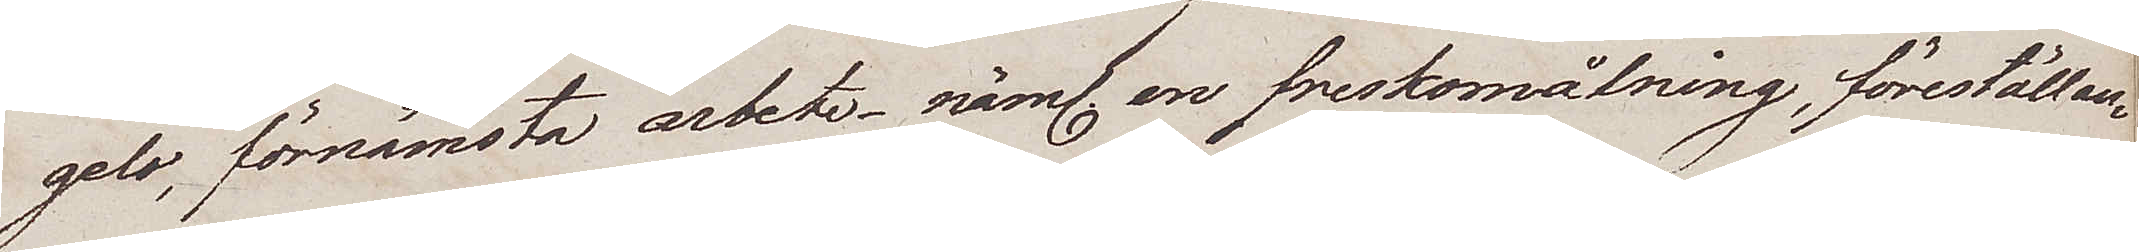gelo, förnämsta arbete – näml, en freskomålning, föreställan¬
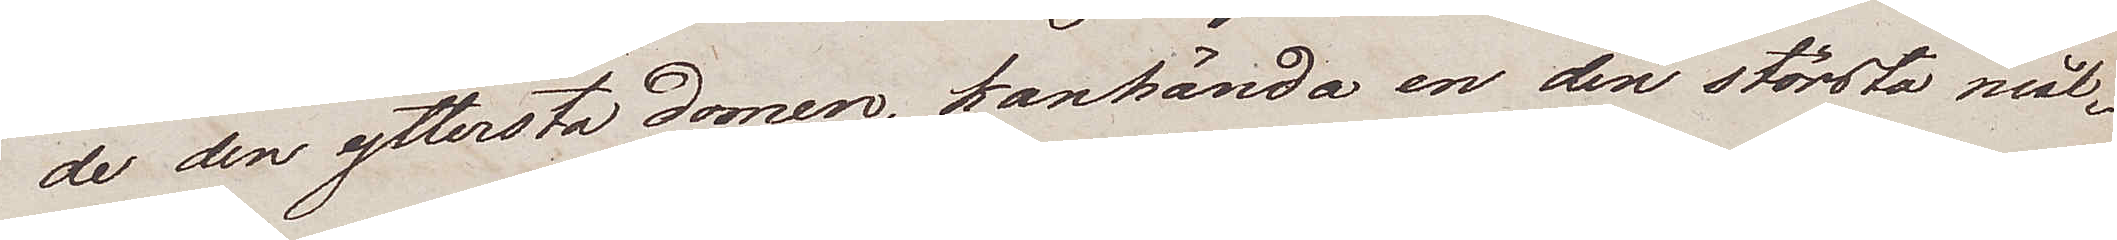de den yttersta domen, kanhända en den största mål¬
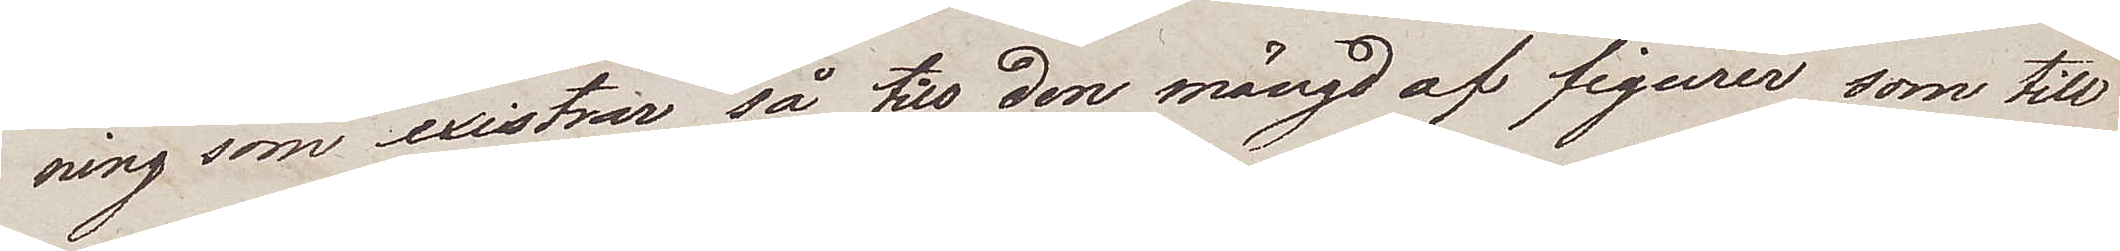ning som existrar så till den mängd af figurer som till
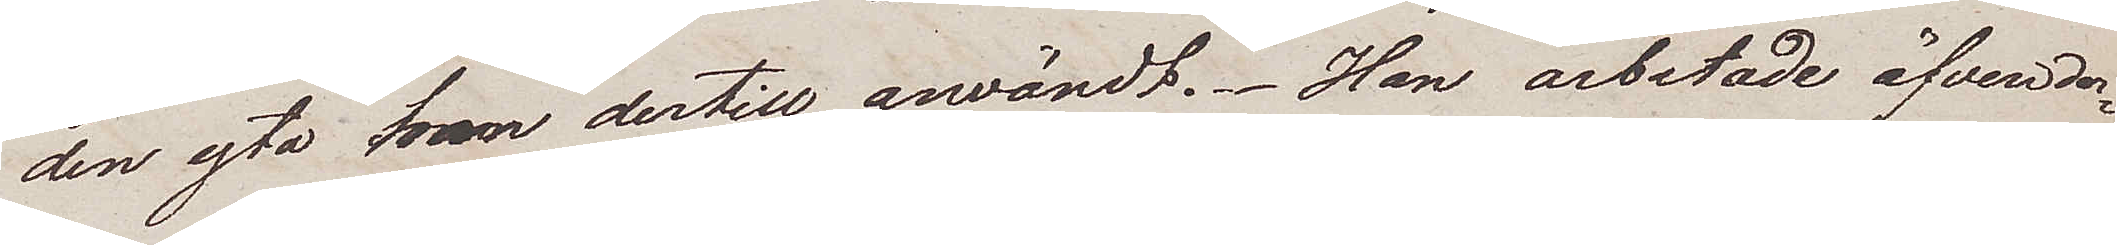den yta han dertill användt. Han arbetade äfven der¬
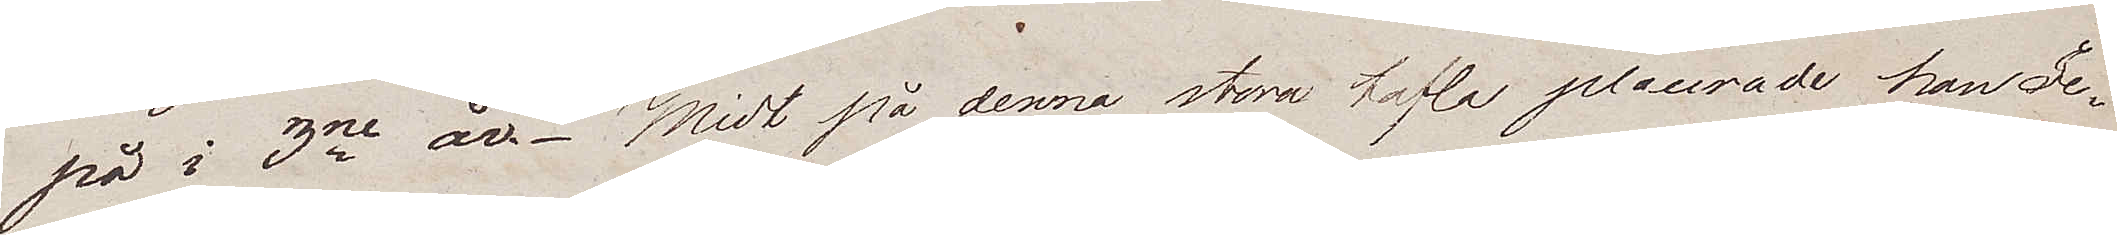på i 3ne år. Midt på denna stora tafla placerade han Je¬
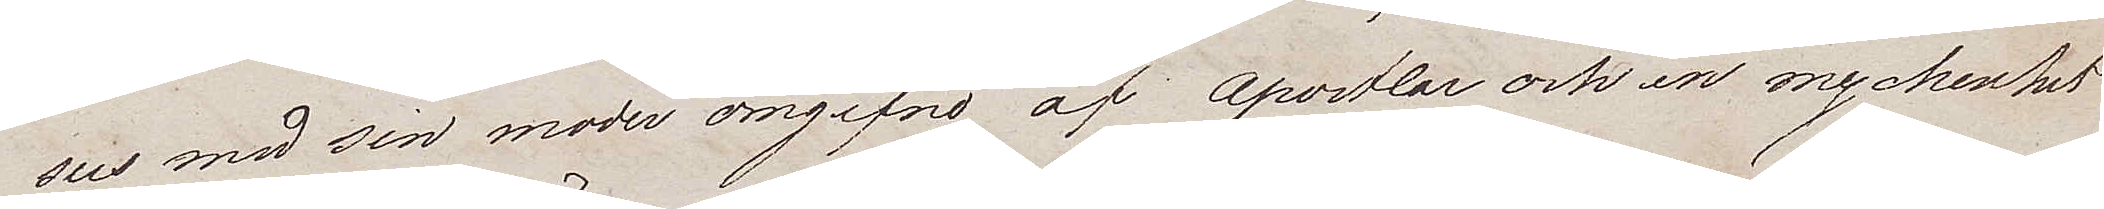sus med sin moder omgifne af Apostlar och en myckenhet
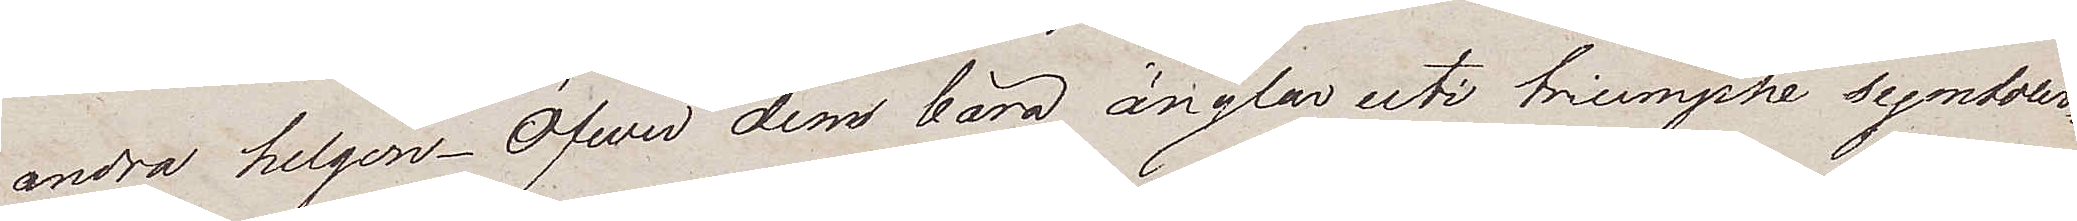andra helgon. Öfver dem bära änglar uti triumphe symboler¬
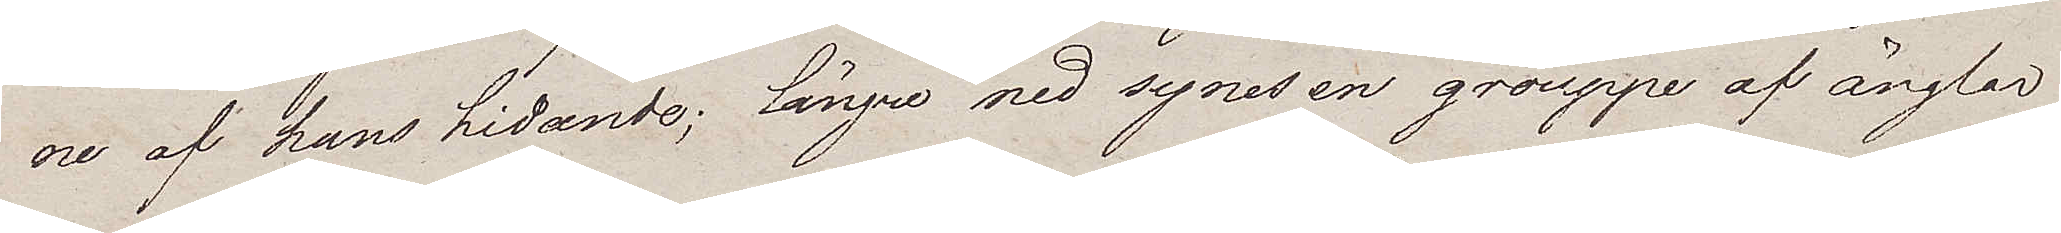ne af hans hidande; längre ned synes en grouppe af änglar
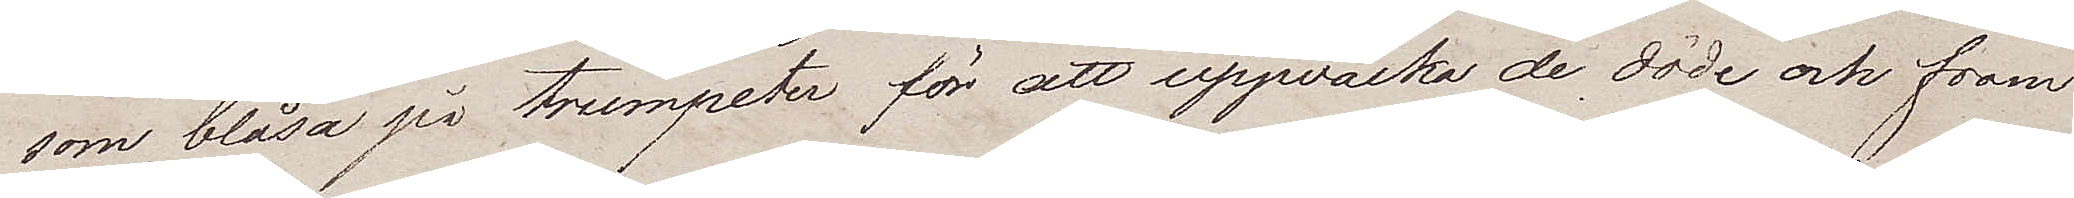som blåsa på trumpeter för att uppwäcka de döde och fram¬
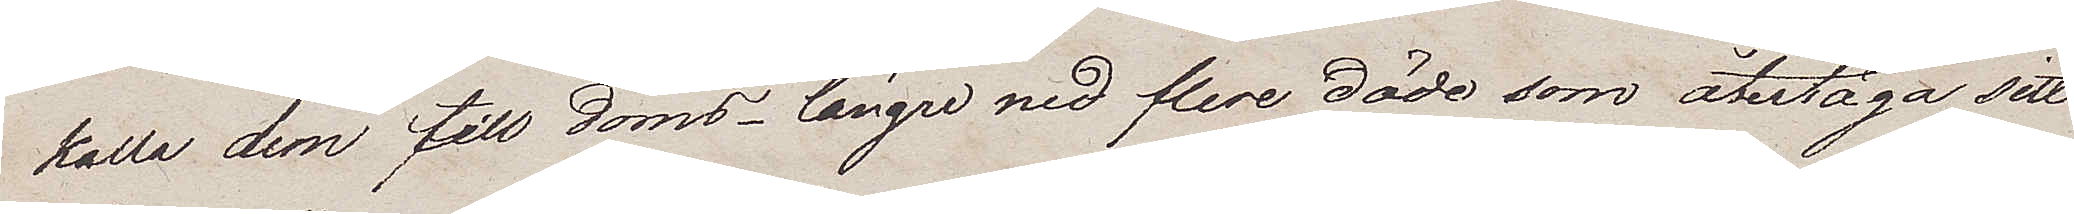kalla dem till doms – längre ned flere döde som återtaga sitt
